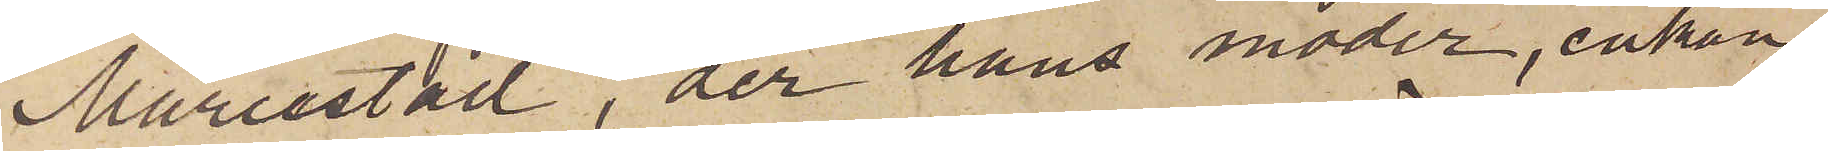Mariestad, der hans moder, enkan
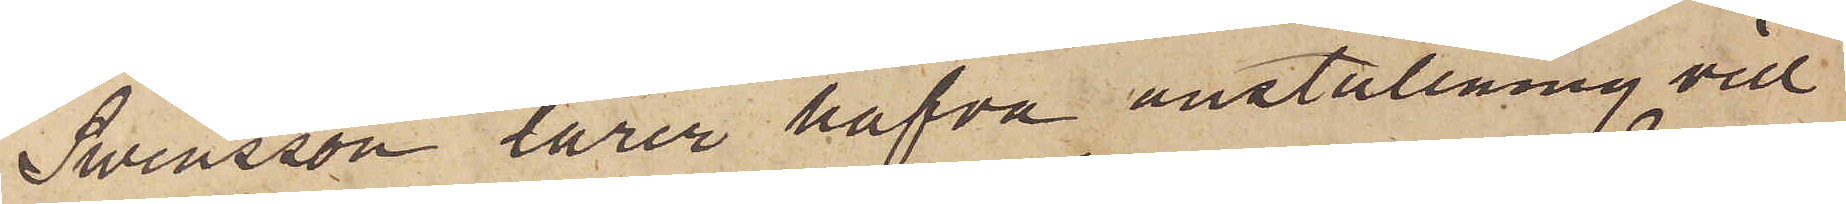Swensson lärer hafva anställning vid
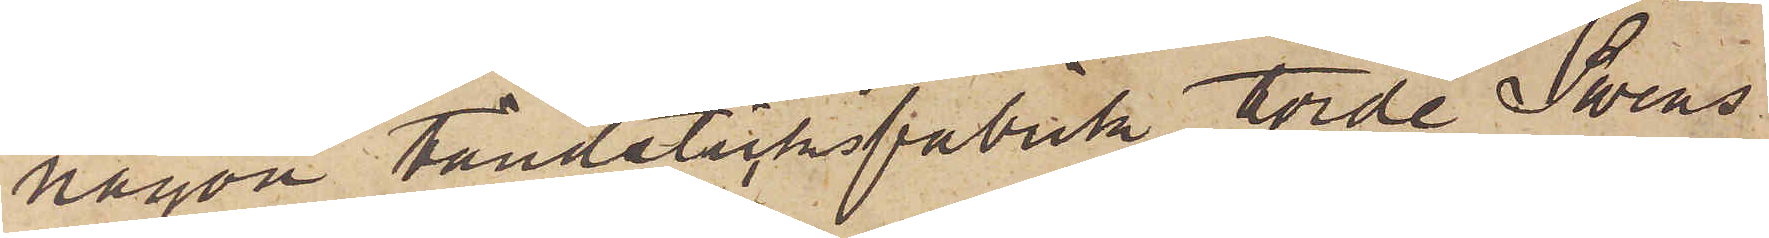någon tändsticksfabrik; Torde Swens¬
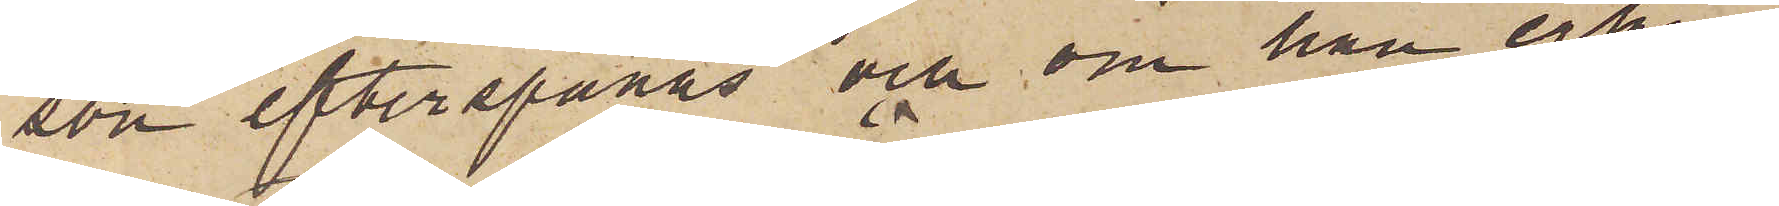son efterspanas och om han erkän¬
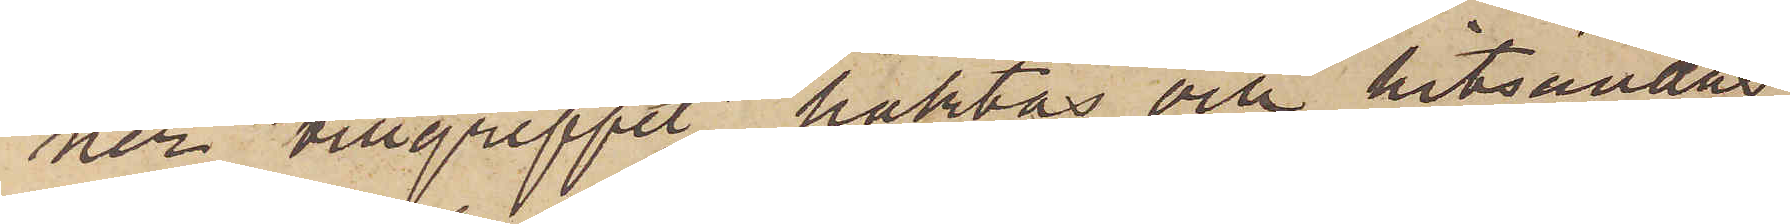ner tillgreppet häktas och hitsändas.
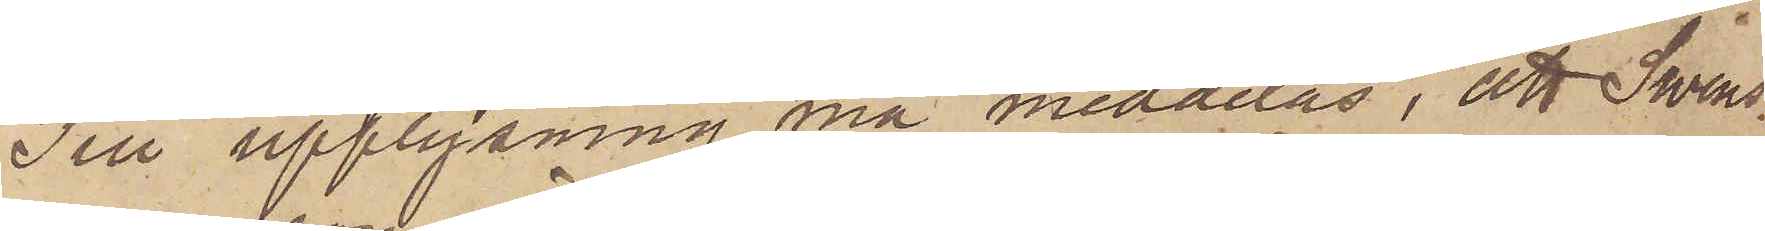Till upplysning må meddelas, att Swens¬
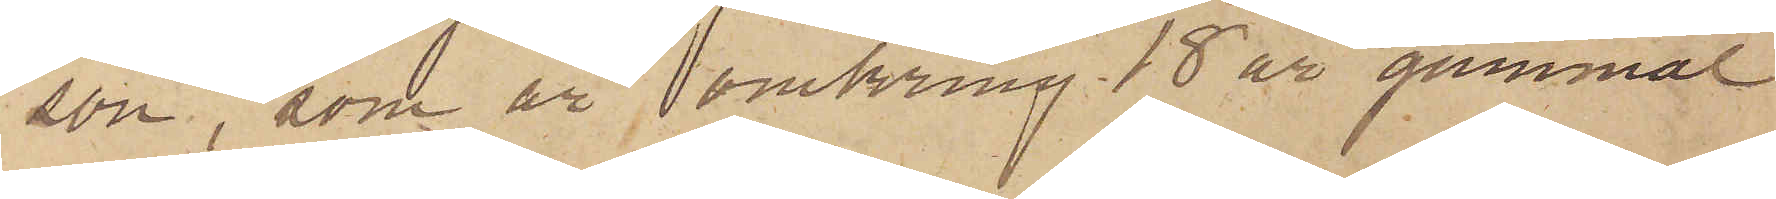son, som är omkring 18 år gammal
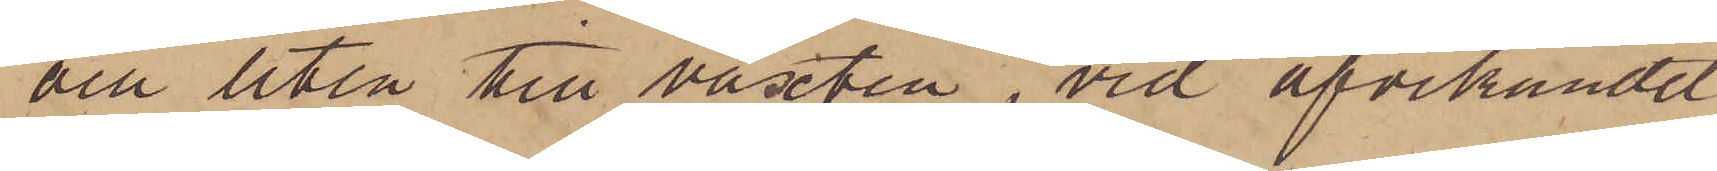och liten till växten, vid afvikandet
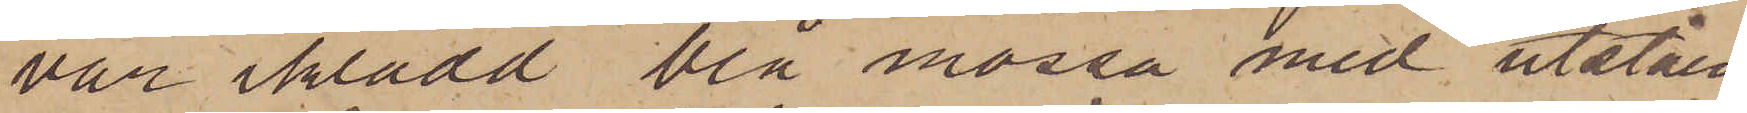var iklädd blå mössa med utståen¬
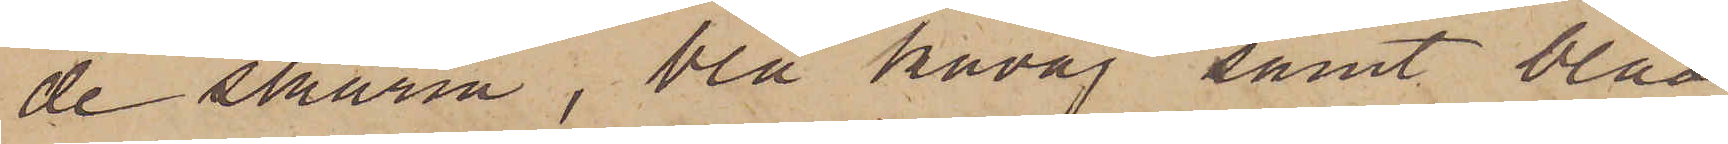de skärm, blå kavaj samt blåa
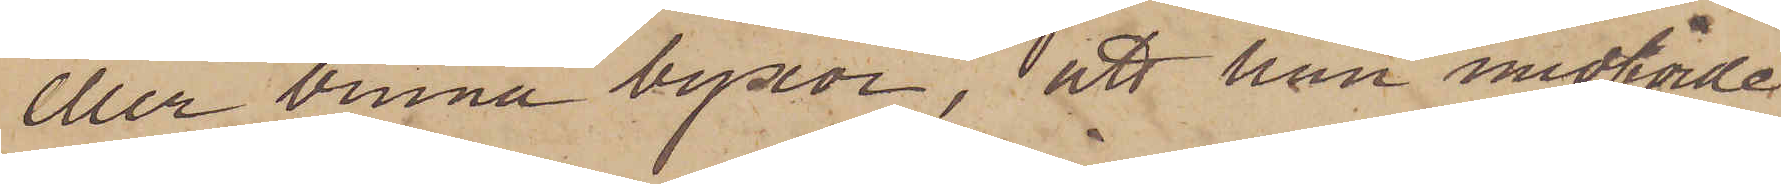eller bruna byxor, att han medförde
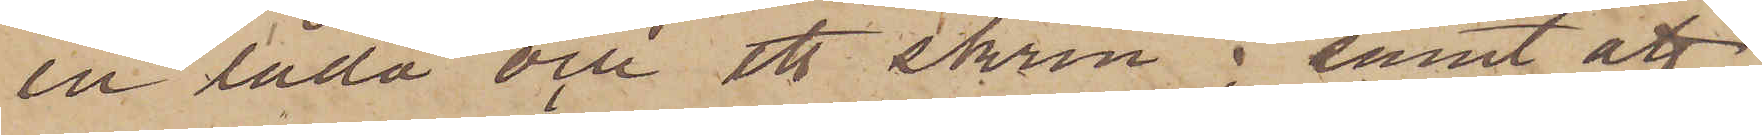en låda och ett skrin; samt att
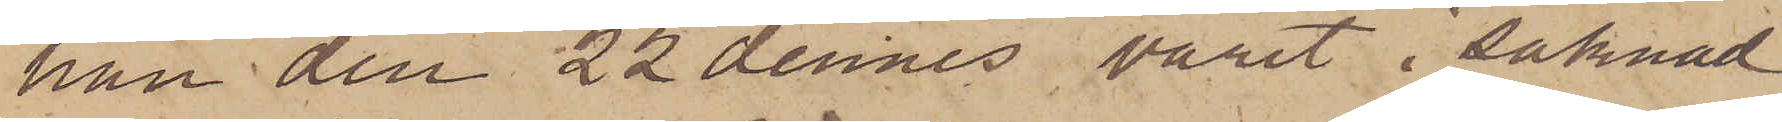han den 22 dennes varit i saknad
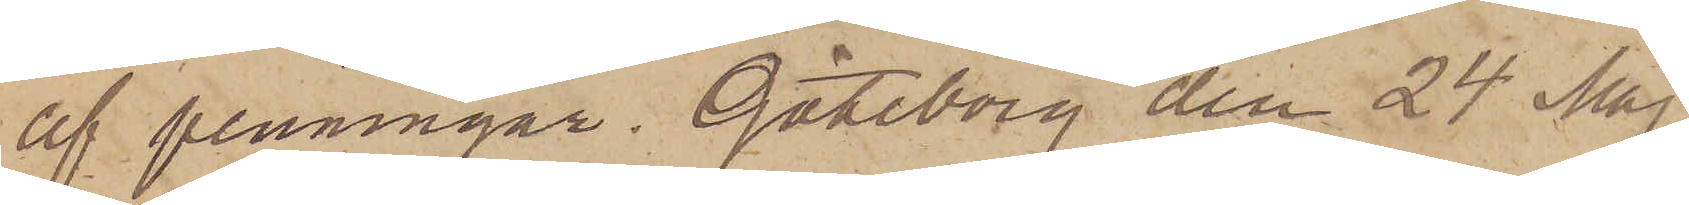af penningar. Göteborg den 24 Maj
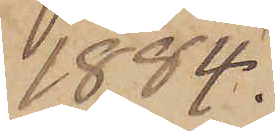1884.
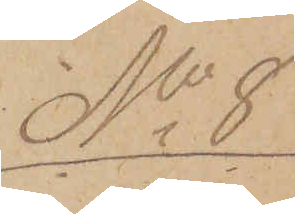No 8
